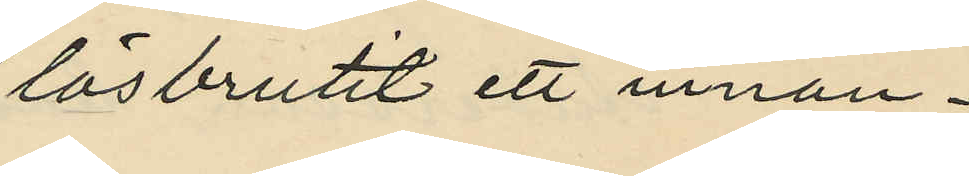lösbrutit ett innan¬
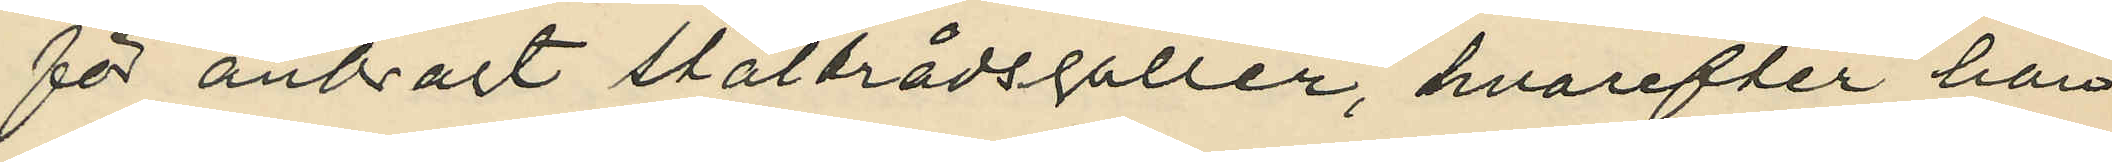för anbragt ståltrådsgaller, hvarefter han
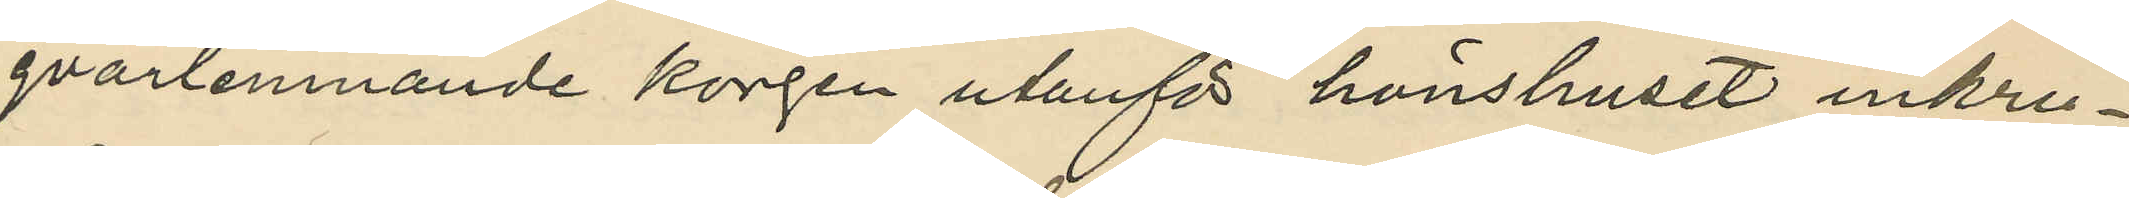qvarlemnande korgen utanför hönshuset inkru¬
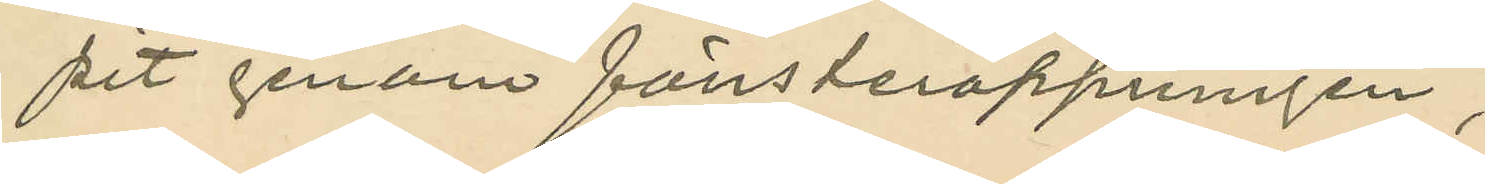pit genom fönsteröppningen;
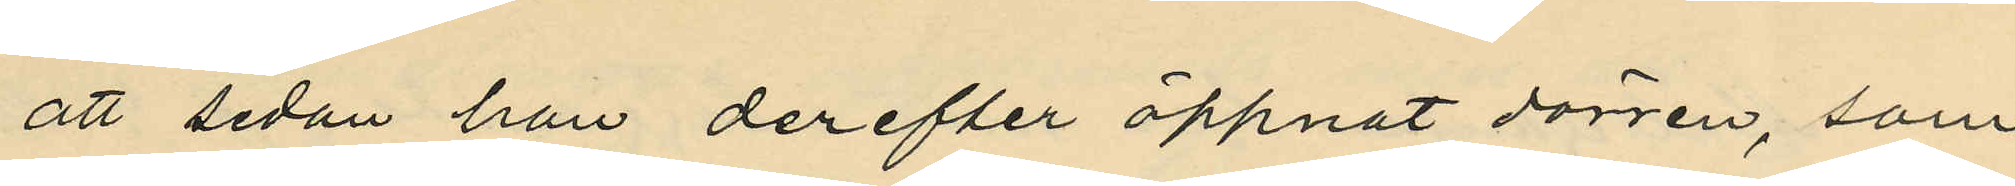att sedan han derefter öppnat dörren, som
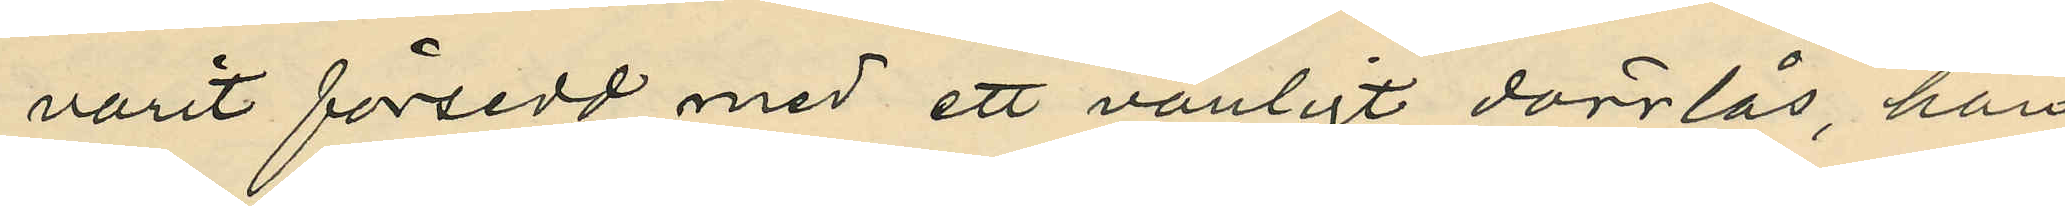varit försedd med ett vanligt dörrlås, han
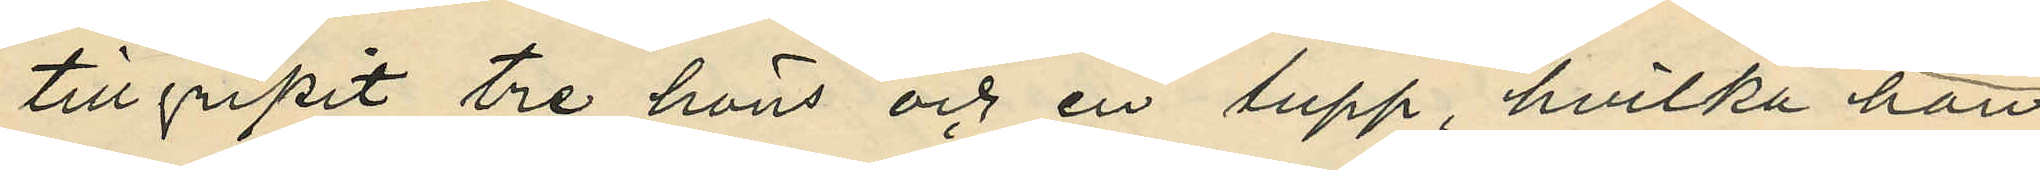tillgripit tre höns och en tupp, hvilka han
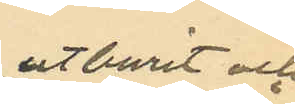utburit och
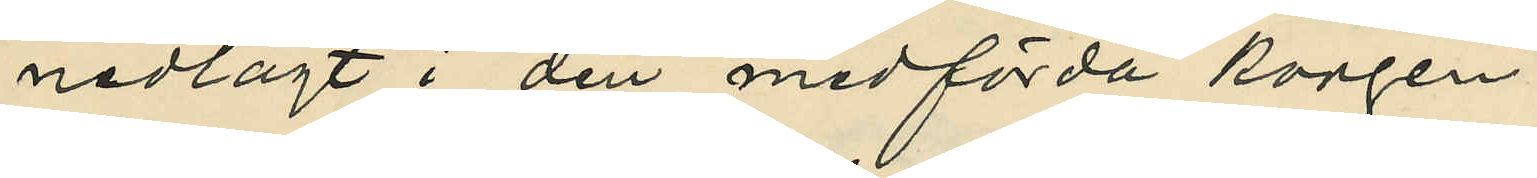nedlagt i den medförda korgen;
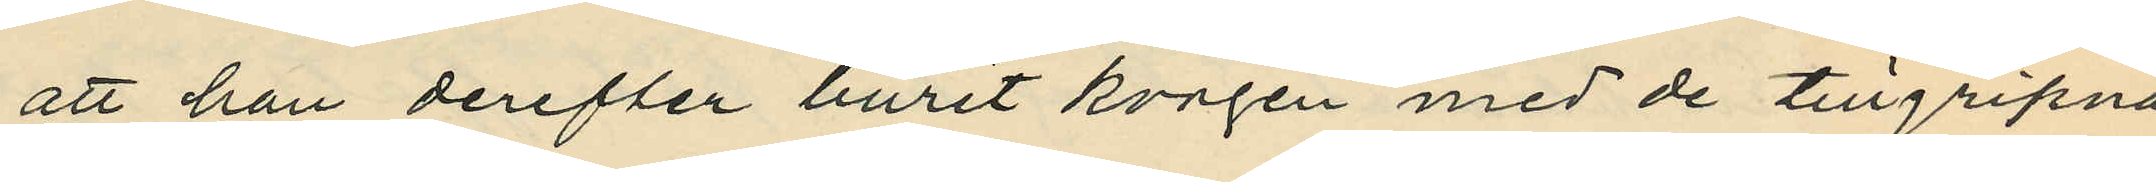att han derefter burit korgen med de tillgripna
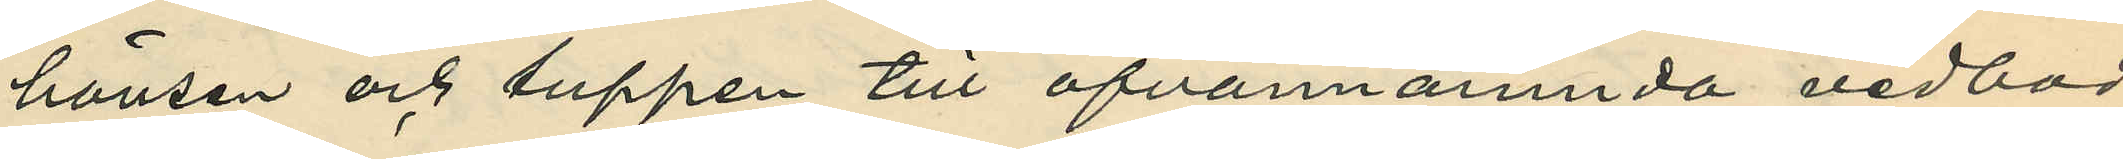hönsen och luppen till ofvannämnda vedbod
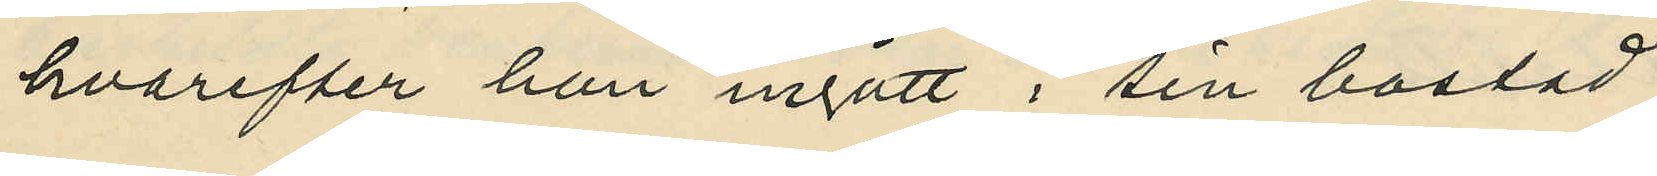hvarefter han ingått i sin bostad;
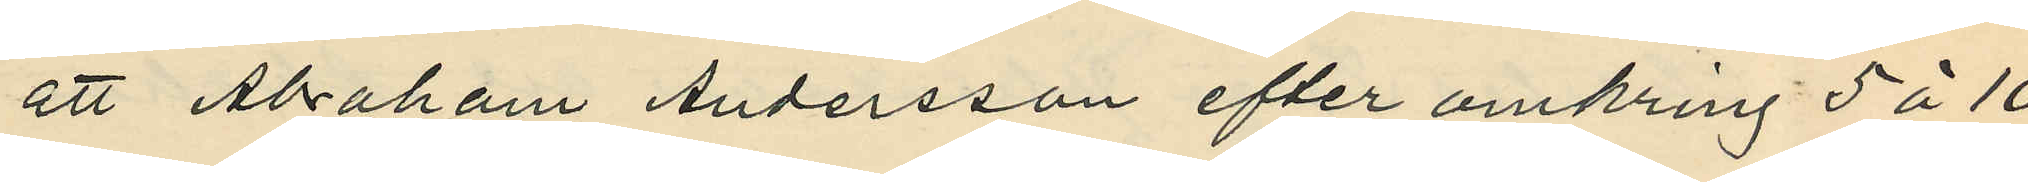att Abraham Andersson efter omkring 5 à 10
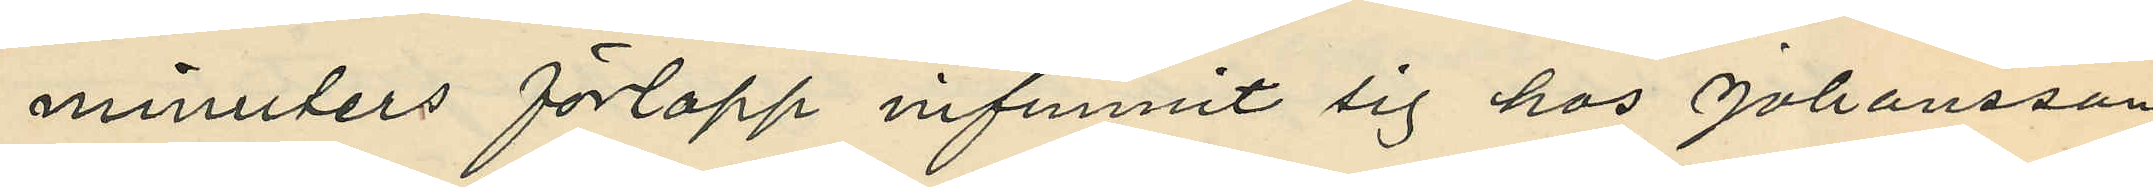minnters förlopp infunnit sig hos Johansson,
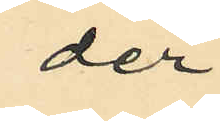der¬
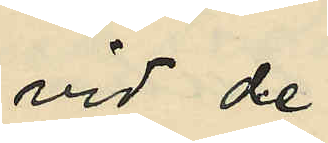vid de
